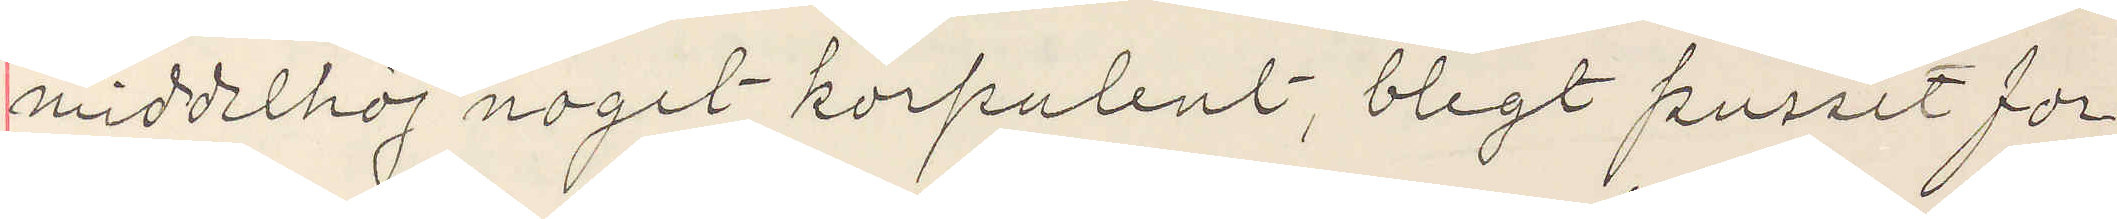middelhöj noget korpulent, blegt pussit for¬
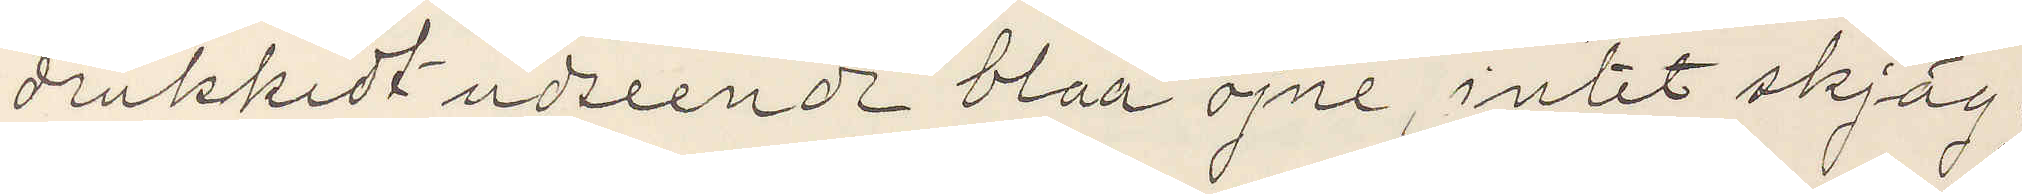drukkidt udseende blaa öjne, intet skjäg,
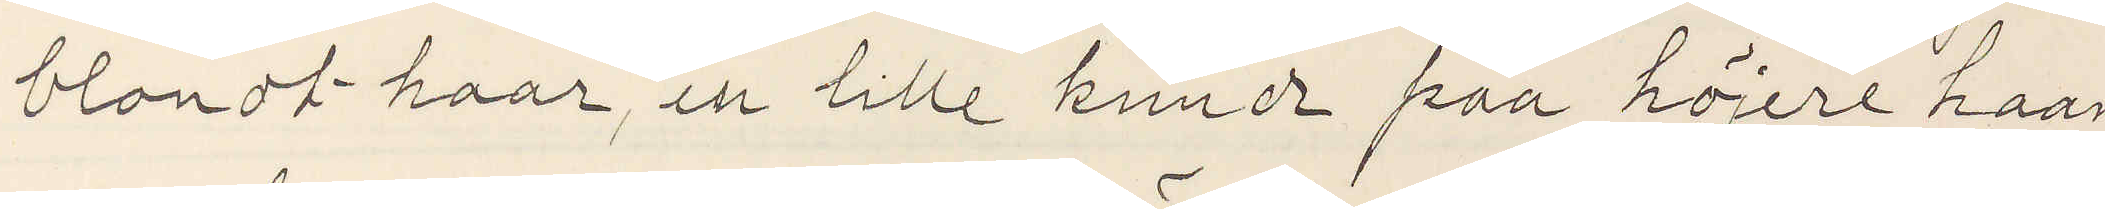blondt haar, en lille knorr från höjere han¬
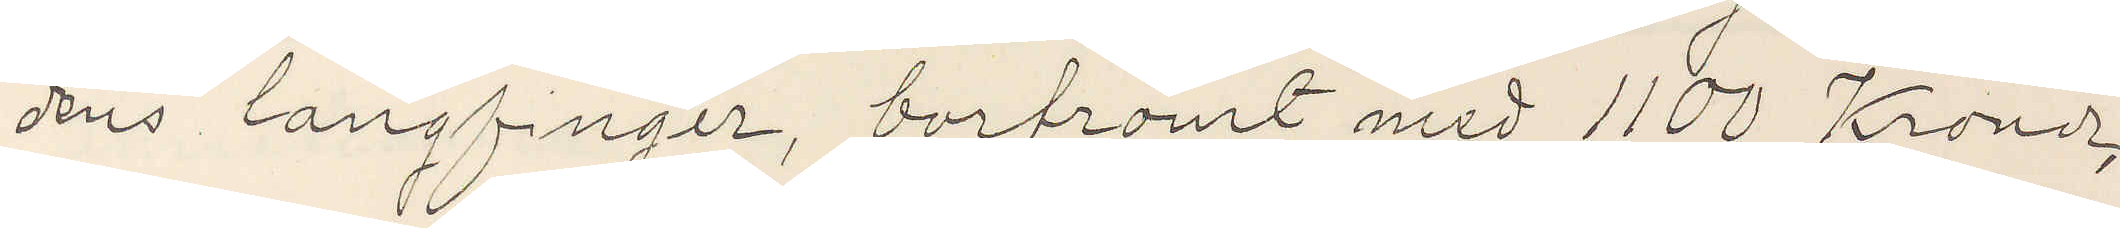dens langfinger, bortrömt med 1100 Kroner,
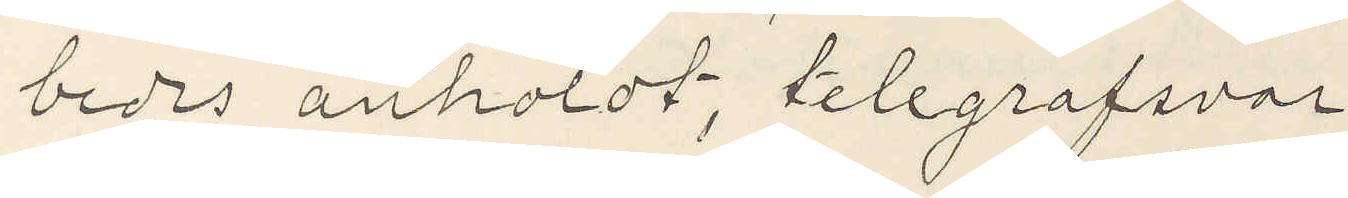beds anholdt, telegrafsvar
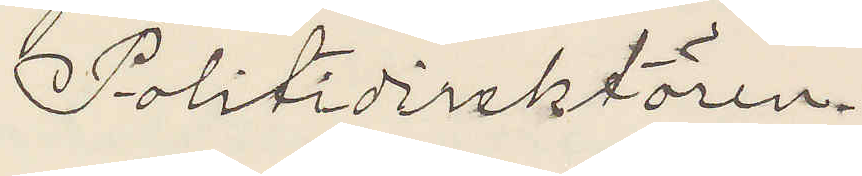Politidirektören.
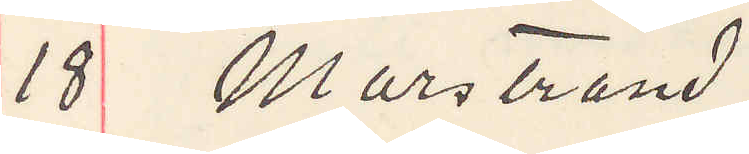18 Marstrand.
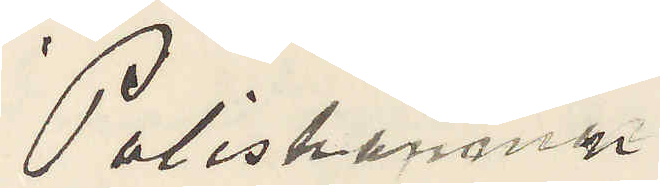Poliskammar
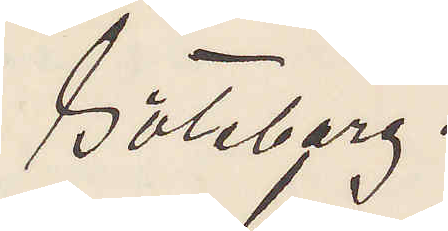Göteborg.
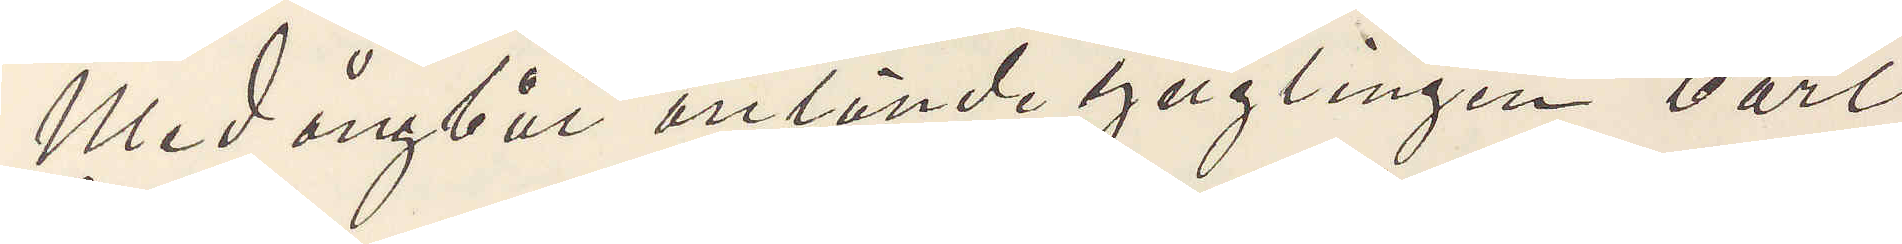Med ångbåt anlände ynglingen Carl
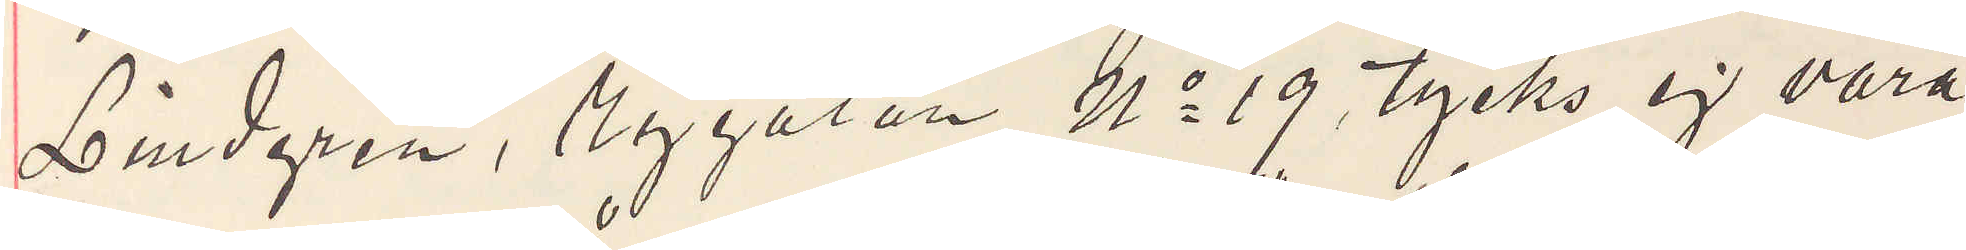Lindgren, Nygatan No 19, tycks ej vara
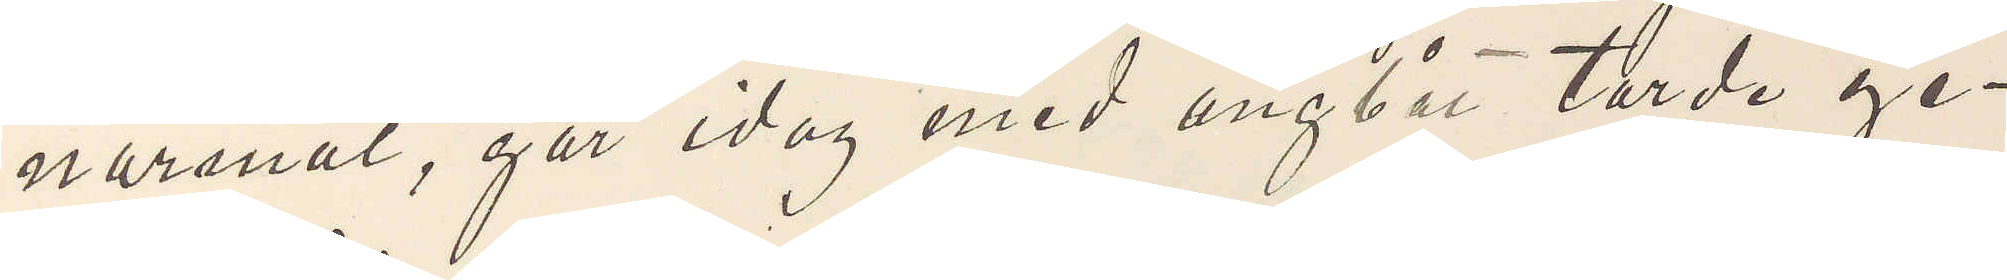normal, går idag med ångbåt torde ge¬
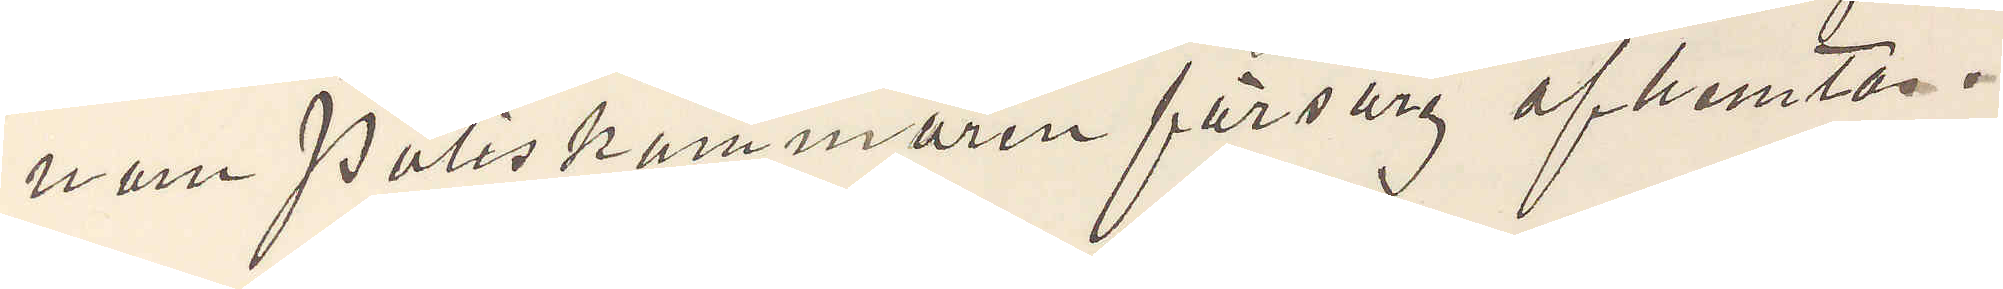nom Poliskammarens försorg afhemtas.
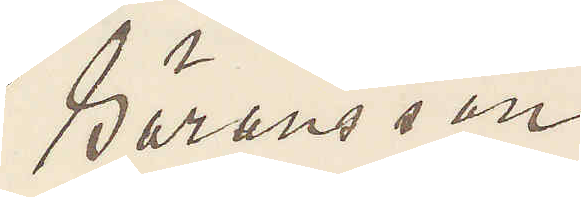Sörensson
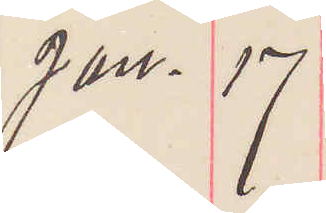Jan. 17
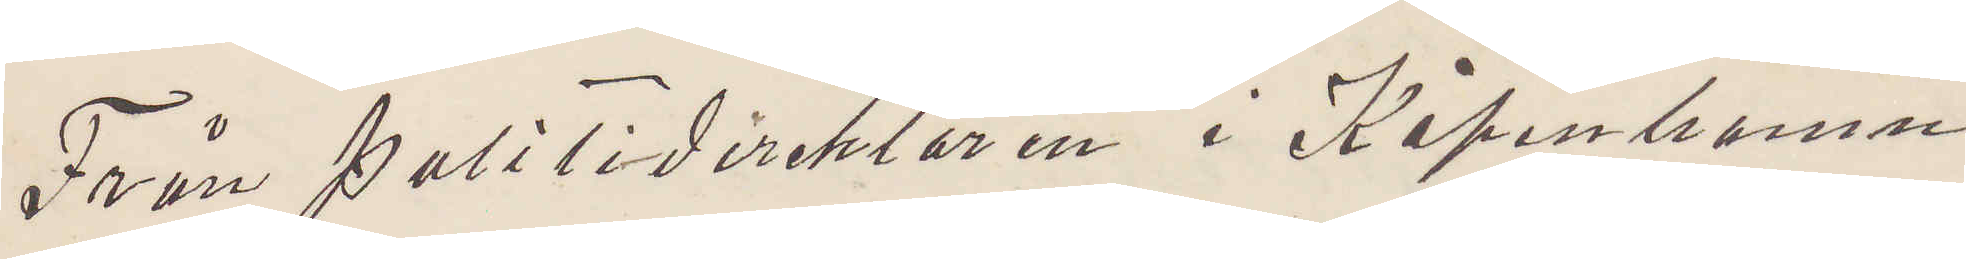Från politidirektören i Köpenhamn
